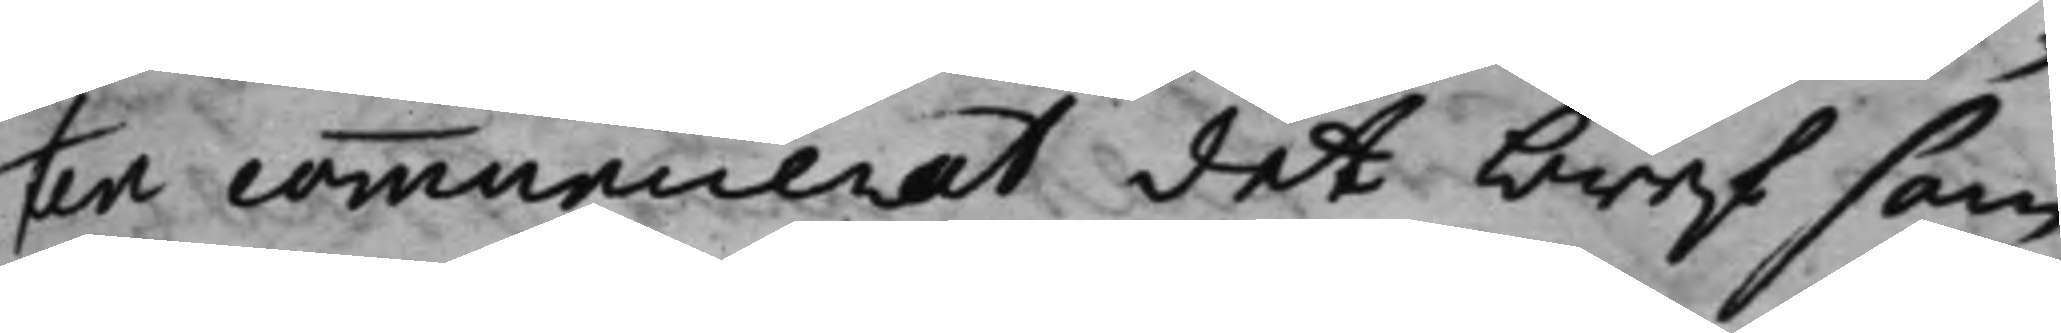ten communicerat det bref som
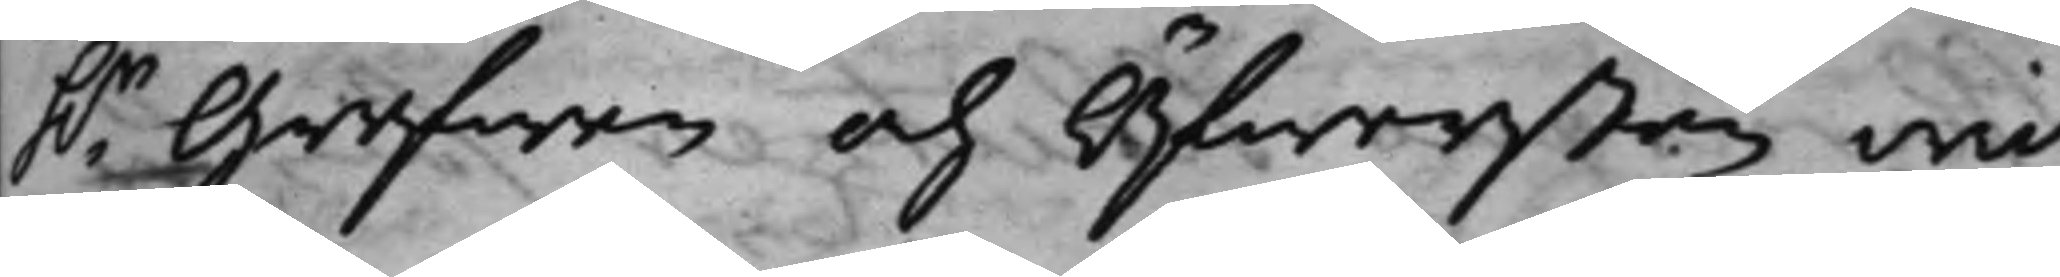h.r Grefwen och Öfwersten wid
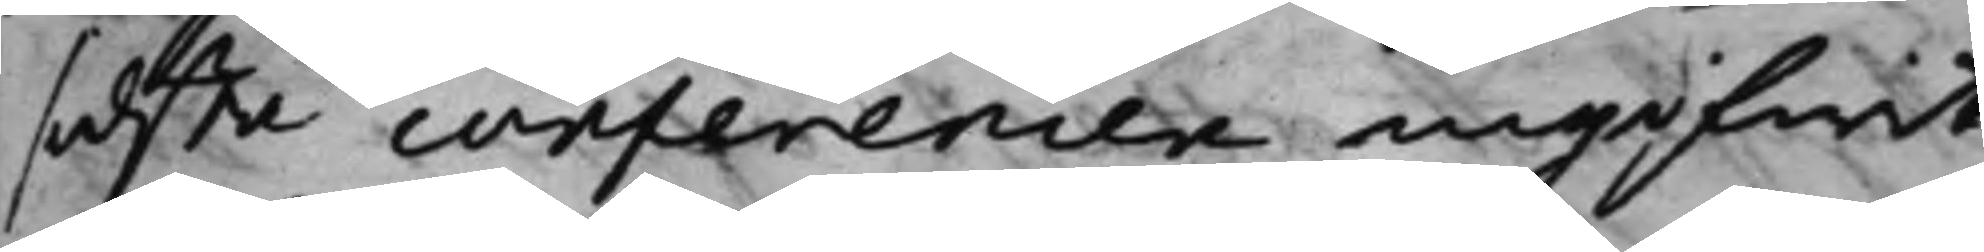sidsta conferencen ingifwit,
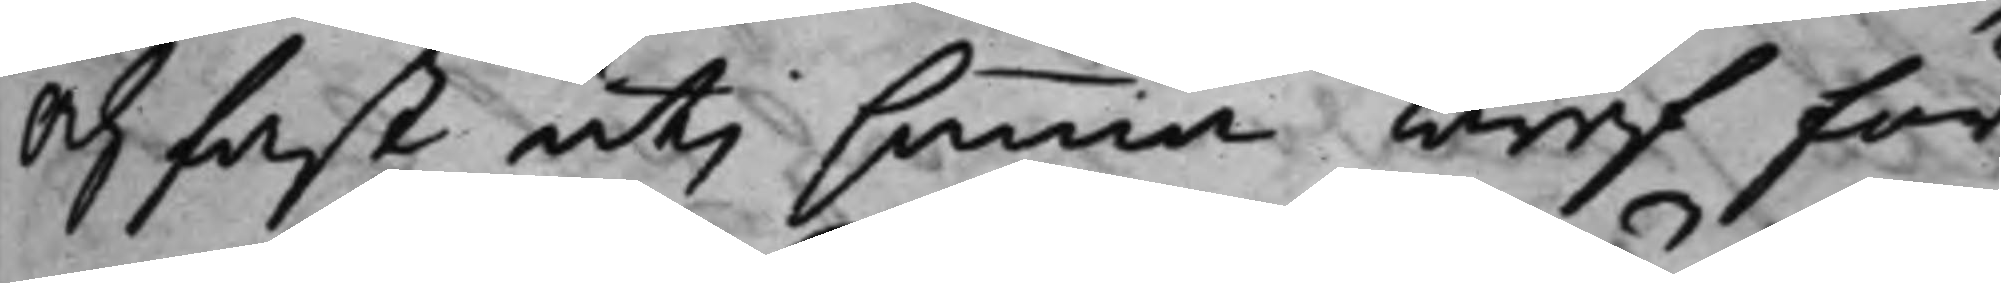och fast uti samma bref för¬
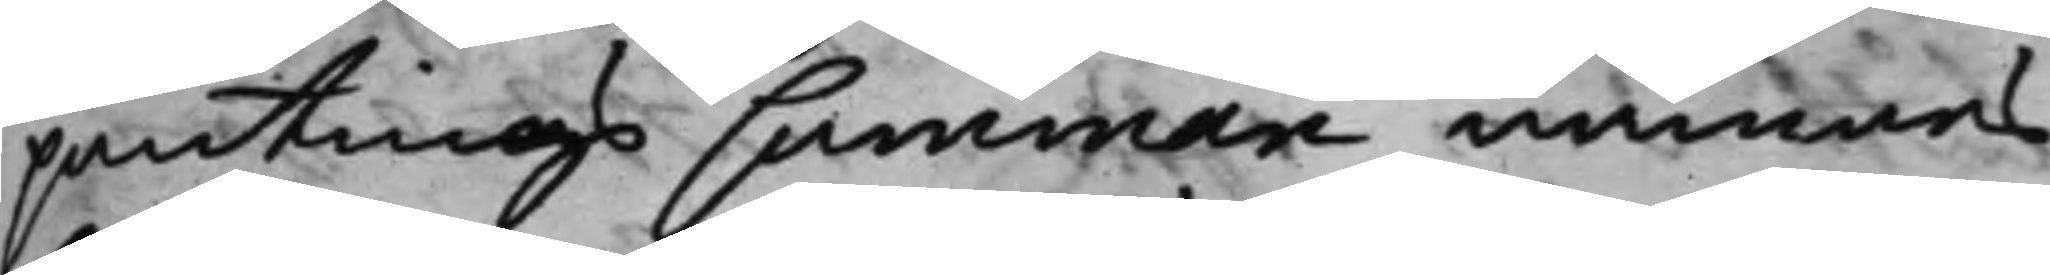pantings summan nämnas
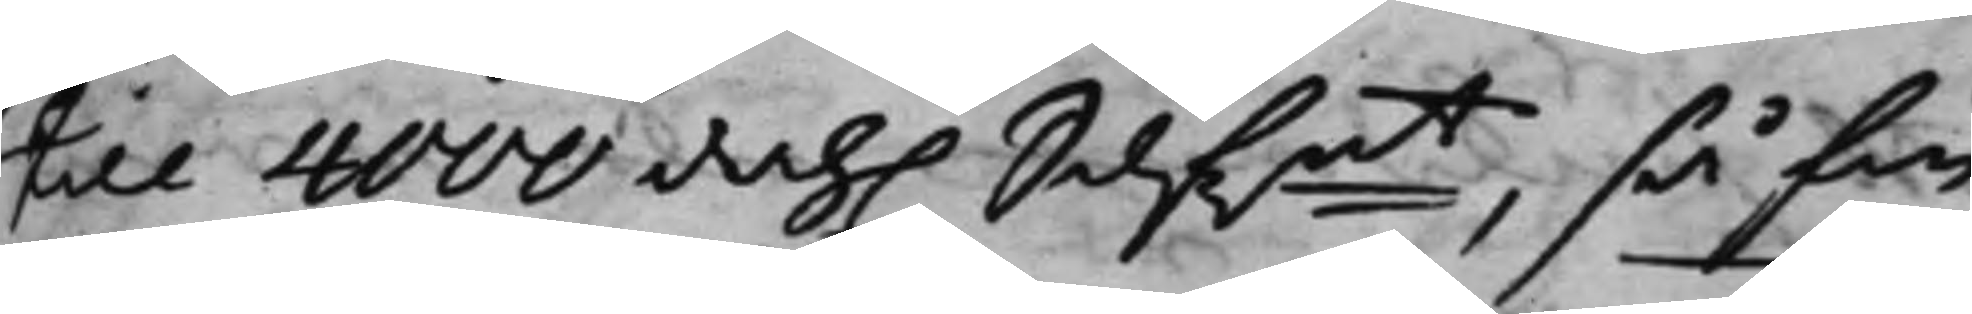till 4000 dah. Silf.mt, så fin¬
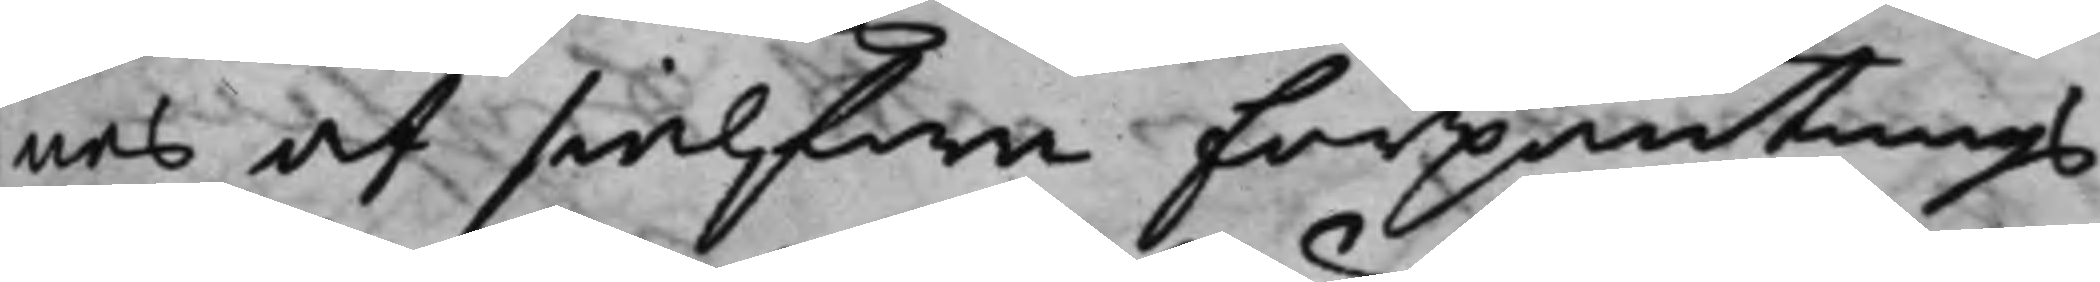nes af sielfwa förpantnings¬
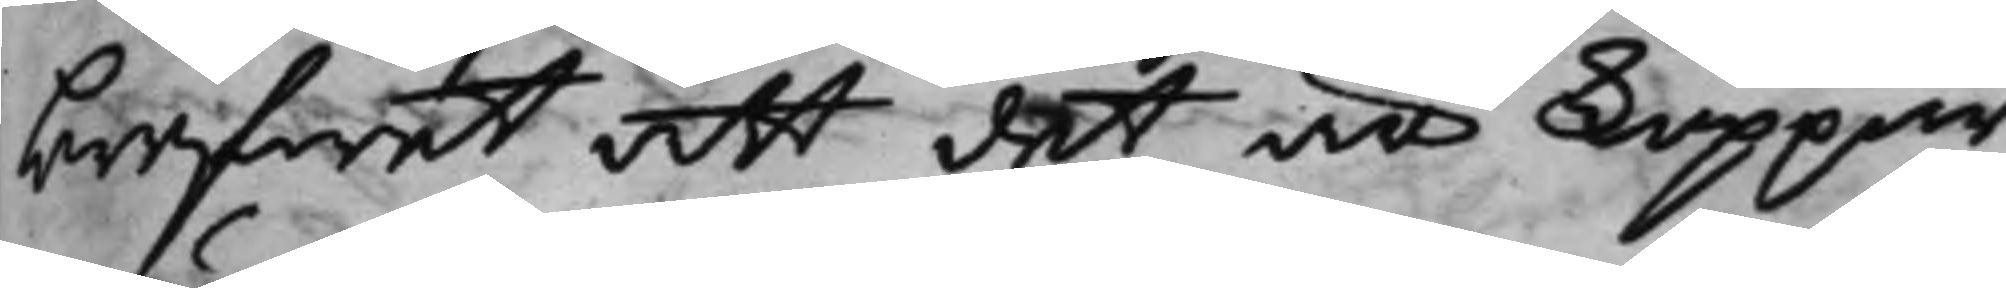brefwet att det är koppar¬
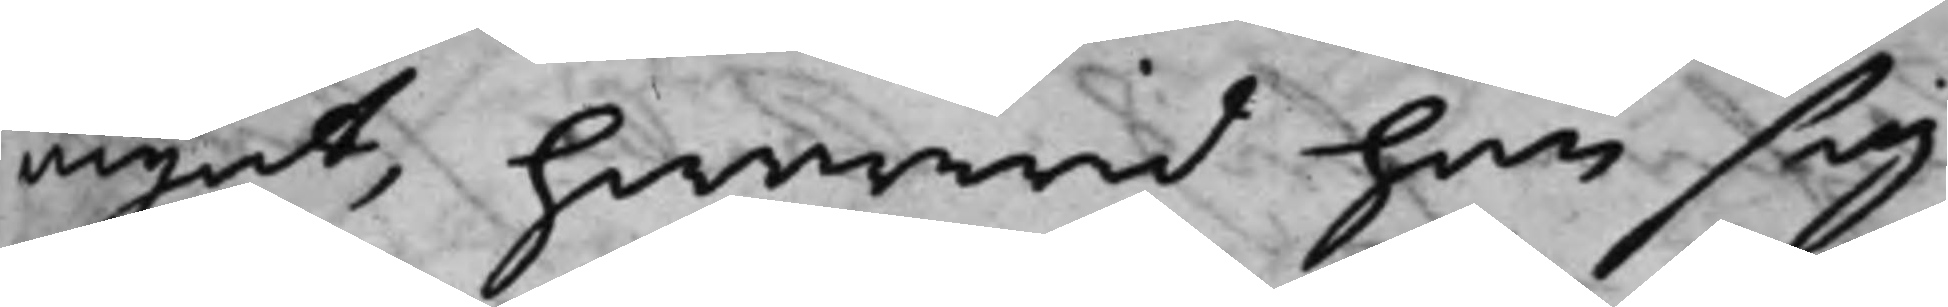mynt, hwarwid han sig
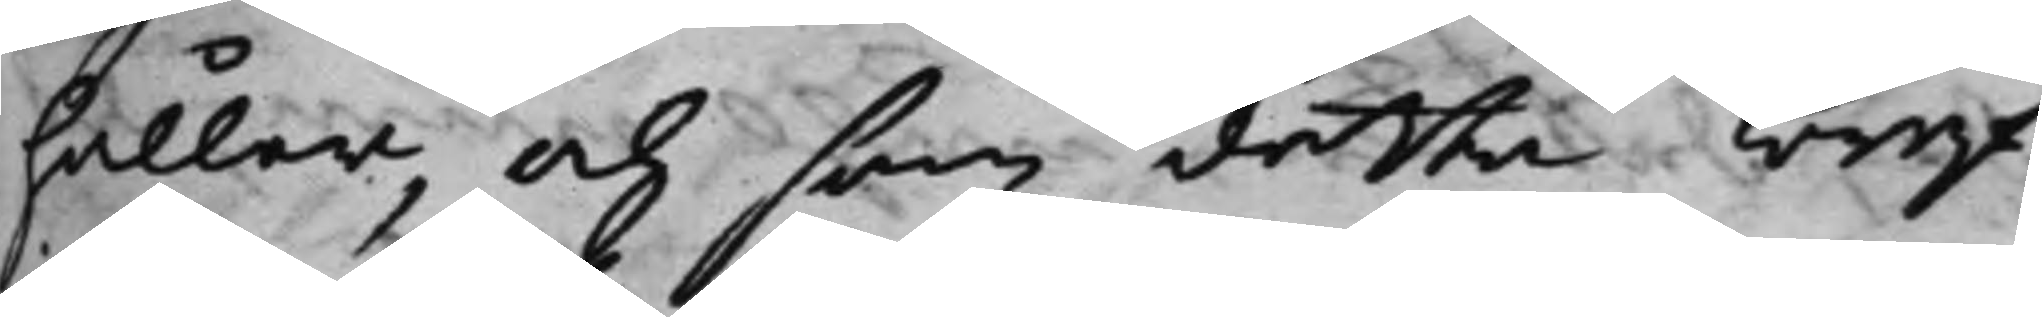håller, och som detta bref
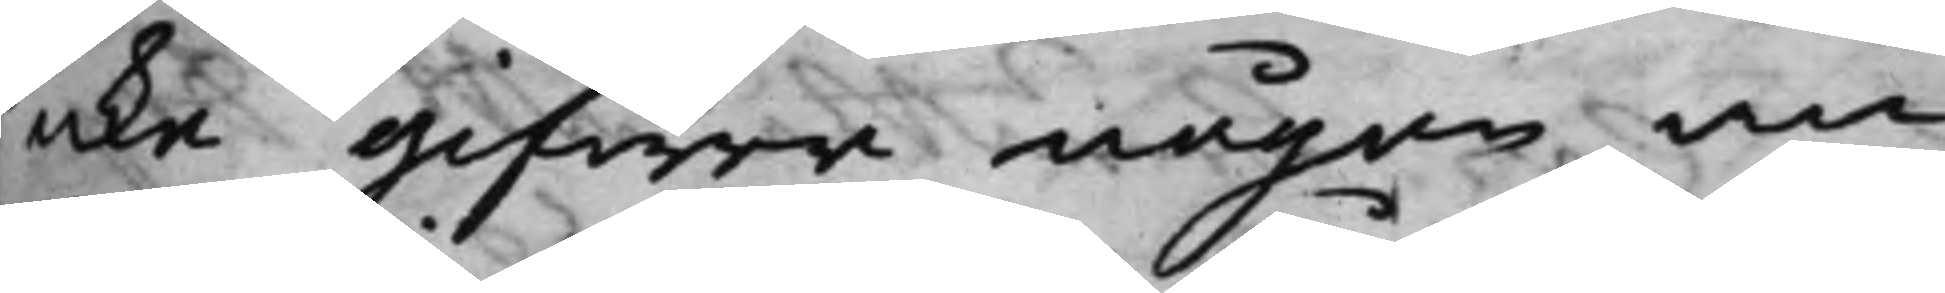icke gifwer någon an¬
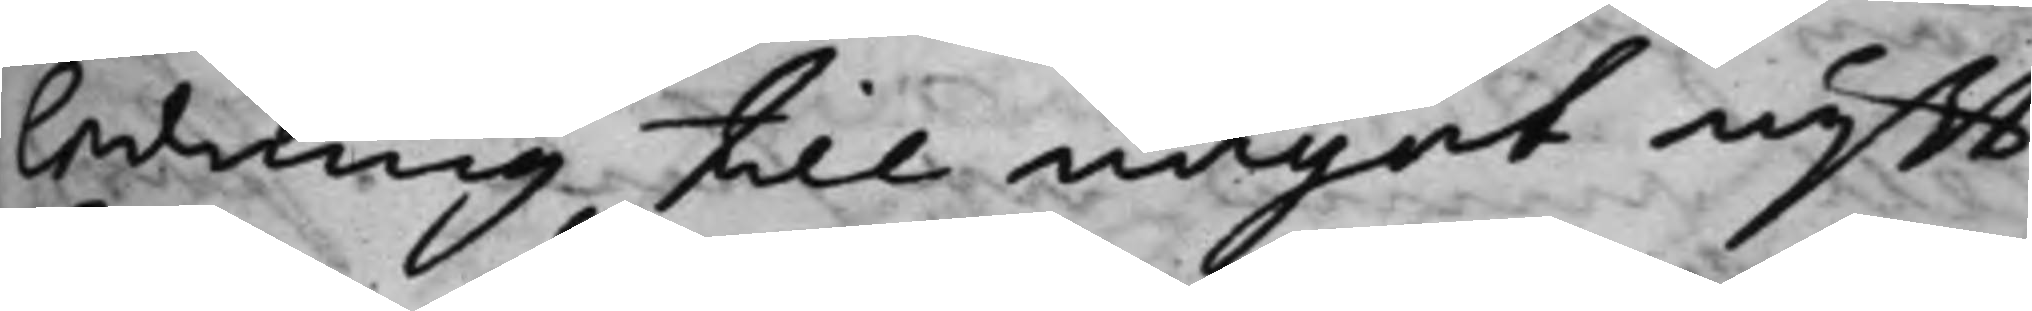ledning till något nytt
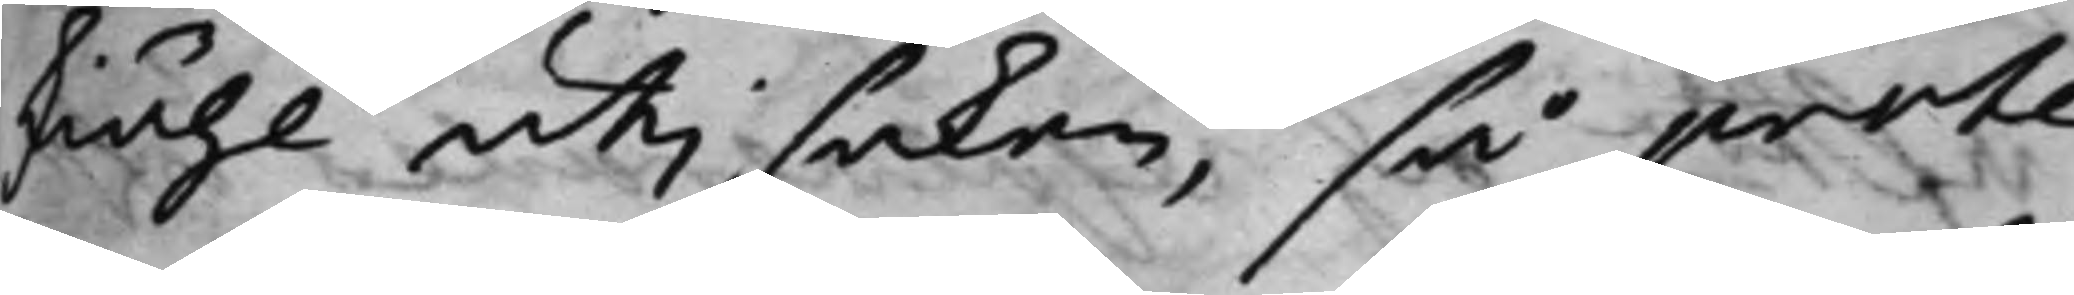skiähl uti saken, så prote¬
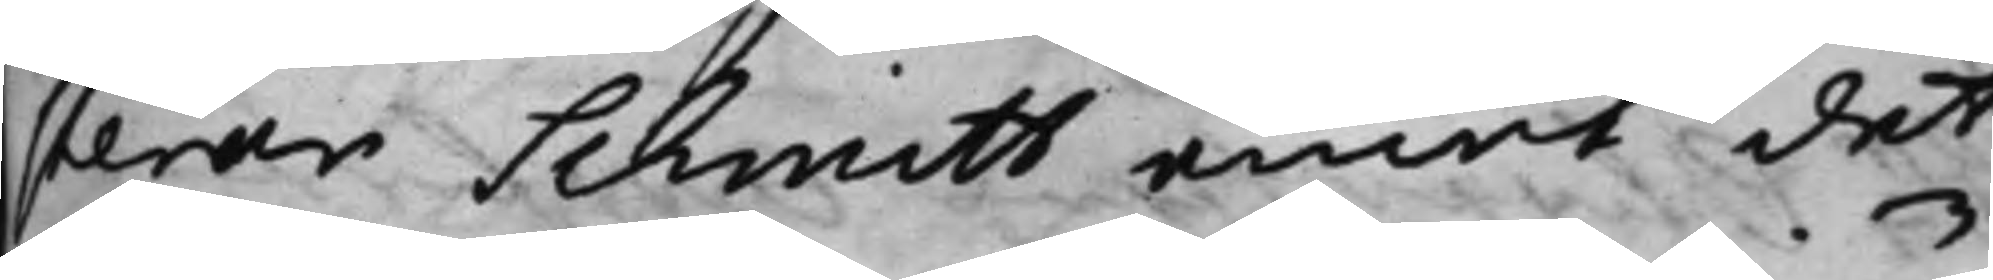terar Schmitt emot det
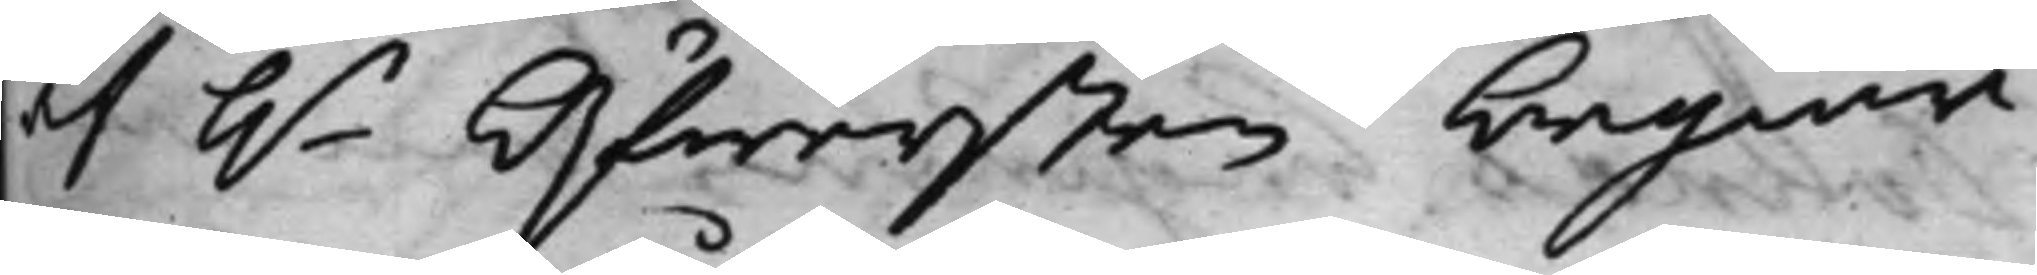af h.r Öfwersten begiär¬
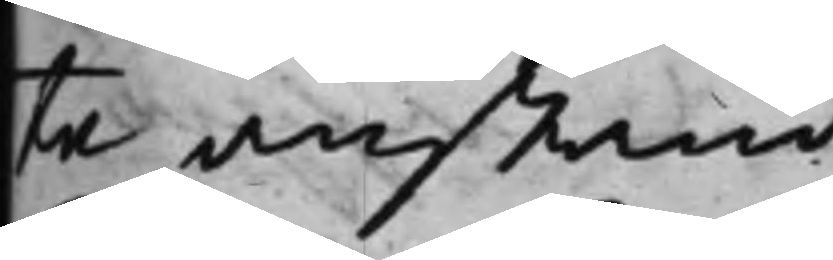te anstånd.
